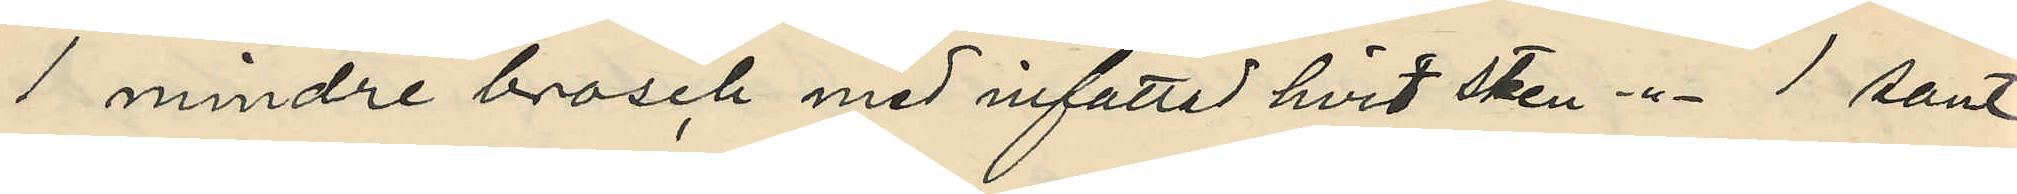1 mindre brosch med infattad hvit sten -"- 1 samt
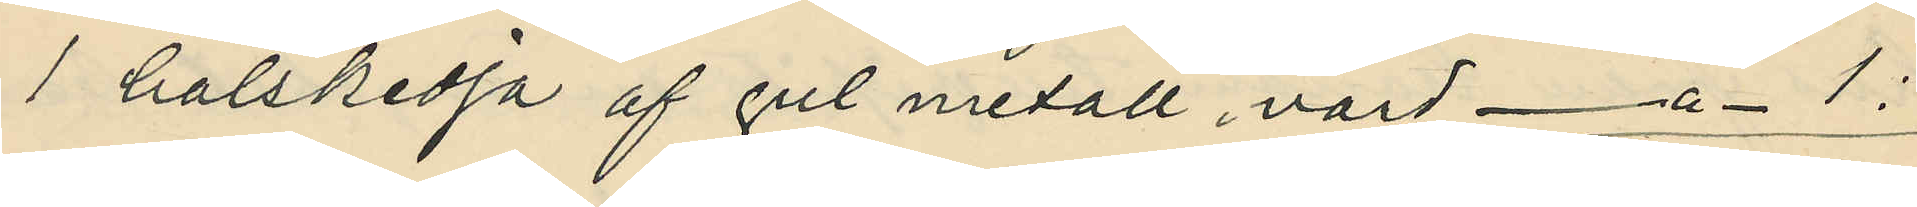1 halskedja af gul metall, värd -"- 1:
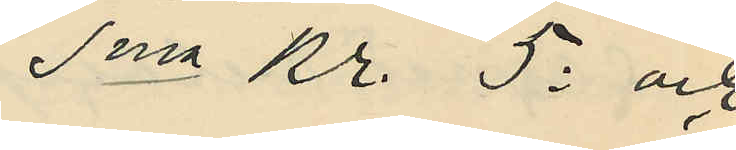Sma Kr. 5: och
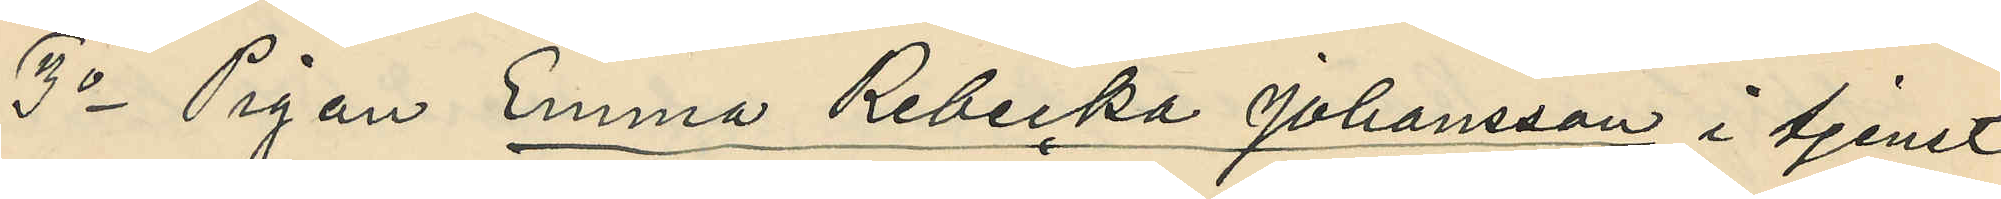3o Pigan Emma Rebecka Johansson i tjenst
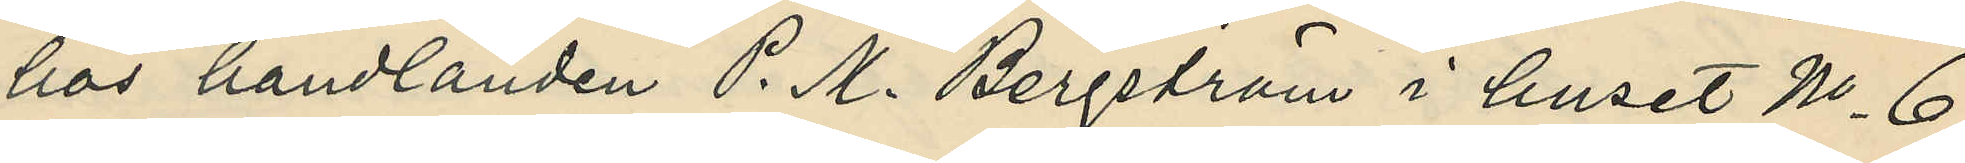hos handlanden P. M. Bergström i huset No 6
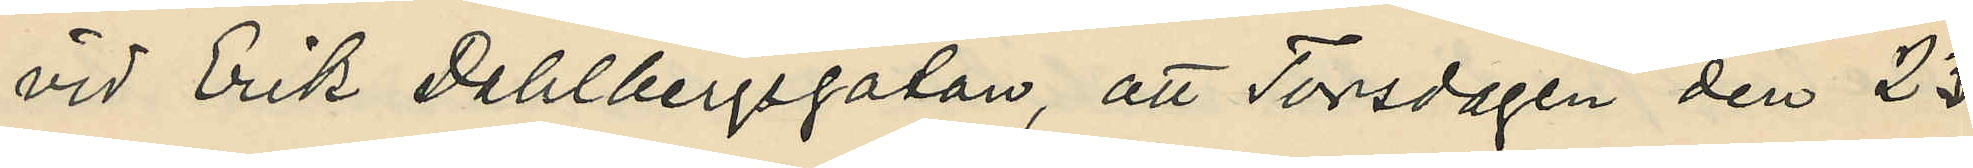vid Erik Dahlbergsgatan, att Torsdagen den 23
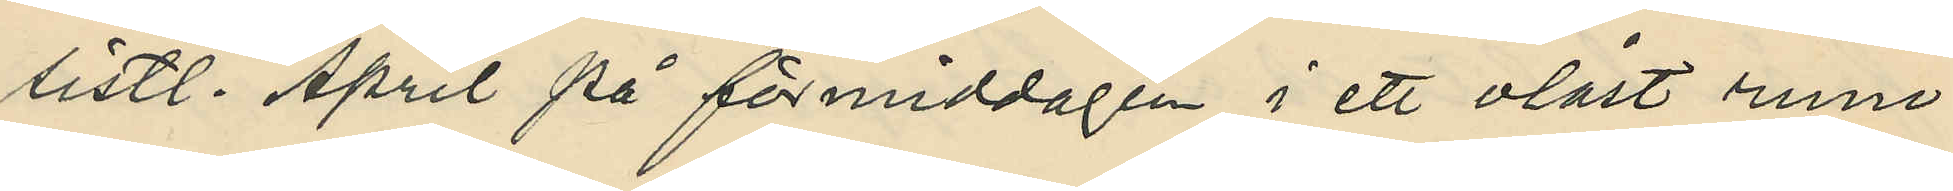sistl. April på förmiddagen i ett olåst rum
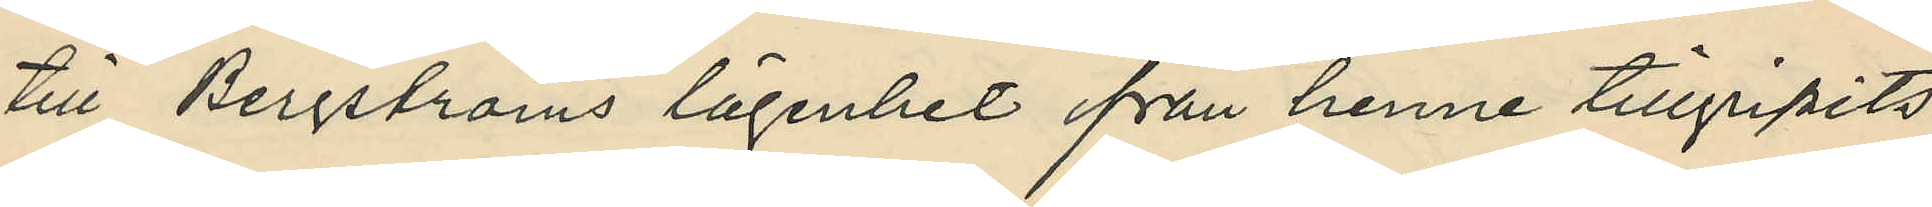till Bergströms lägenhet från henne tillgripits
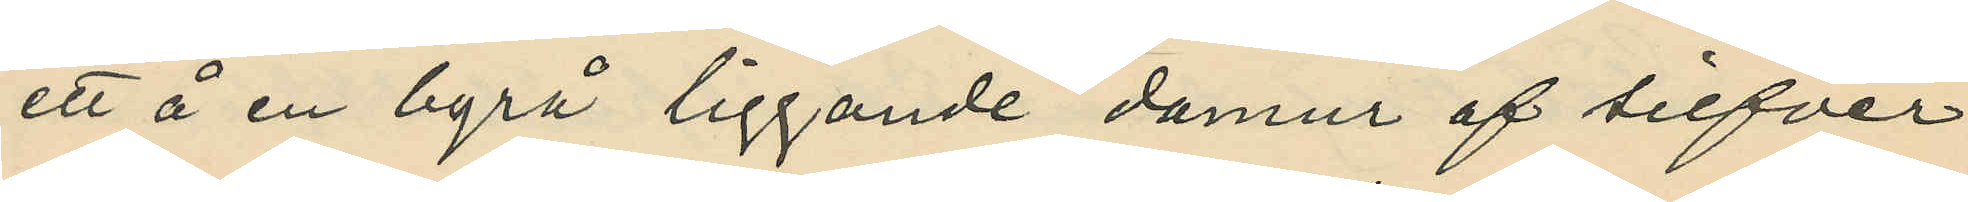ett å en byrå liggande damur af silfver
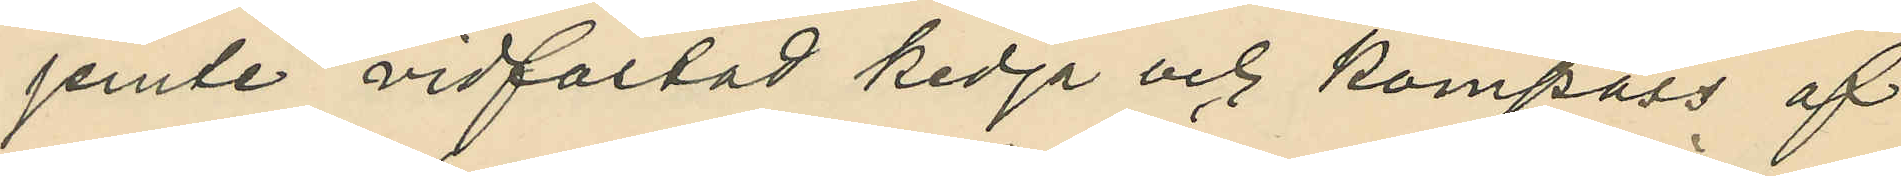jemte vidfastad kedja och kompass af
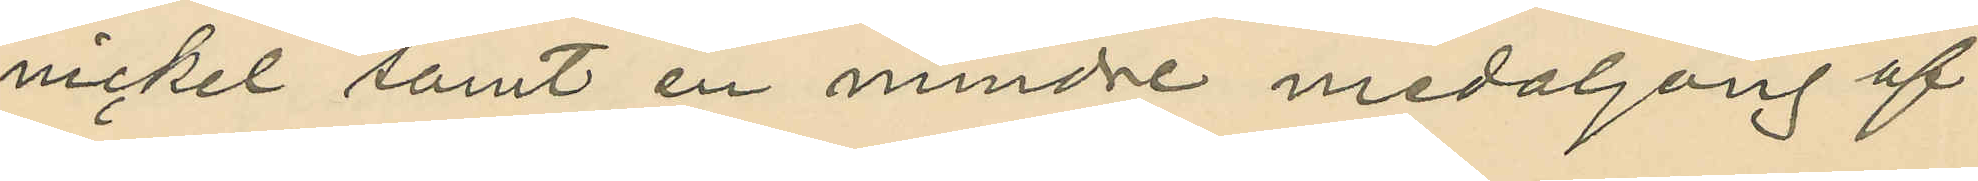nickel samt en mindre medaljong af
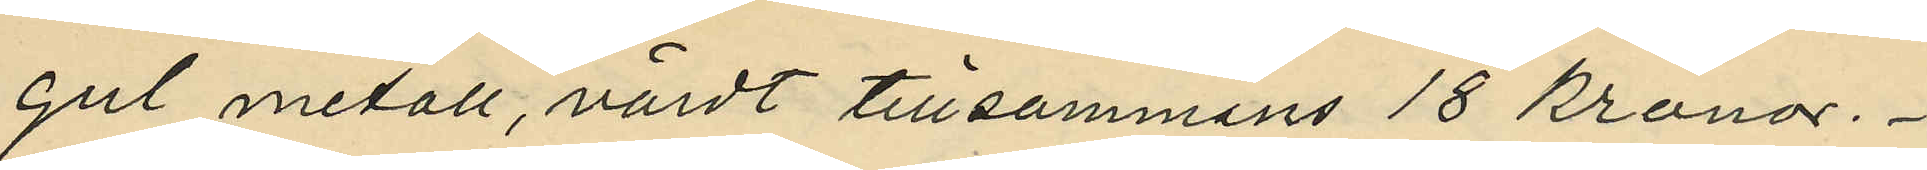gul metall, värdt tillsammans 18 kronor.
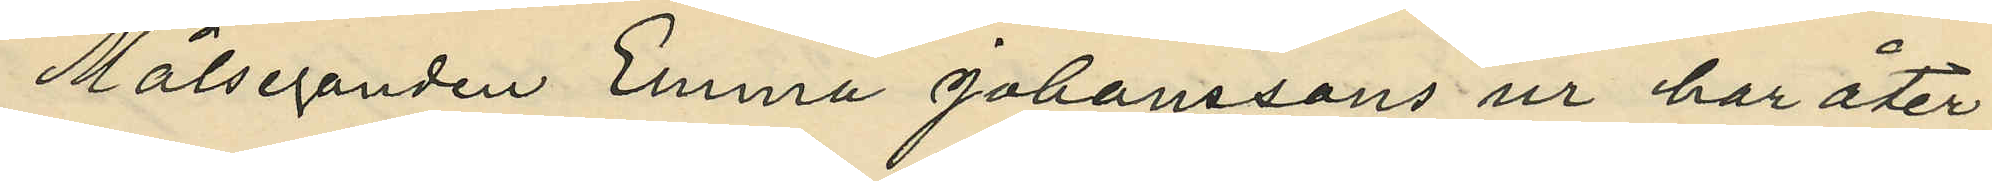Målseganden Emma Johanssons ur har åter¬
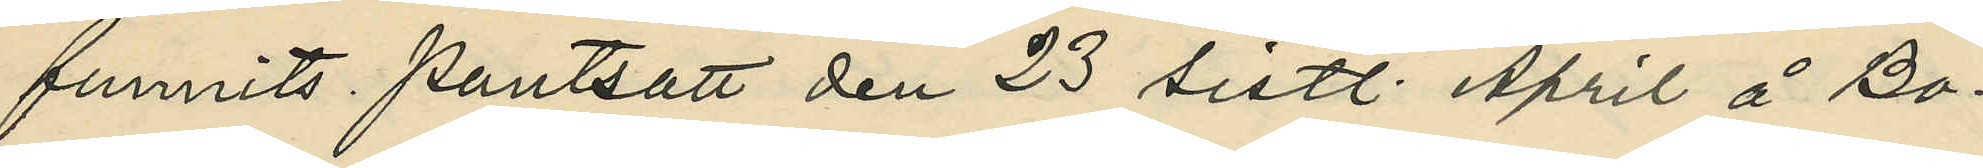funnits pantsatt den 23 sistl. April å Bo¬
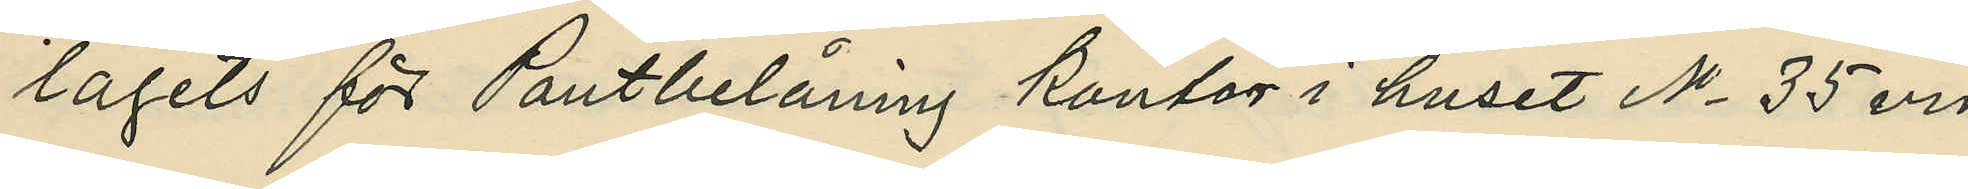lagets för Pantbelåning kontor i huset No 35 vid
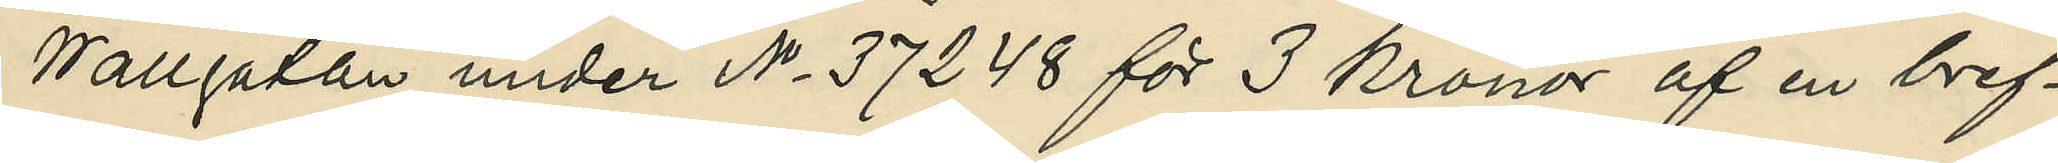Wallgatan under No 37248 för 3 kronor af en bref¬
